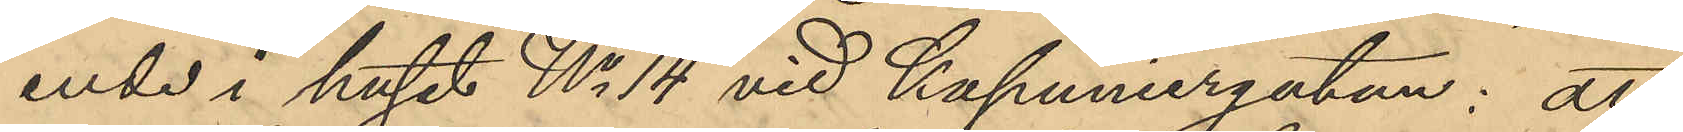ende i huset No 14 vid Kapuniergatan: att
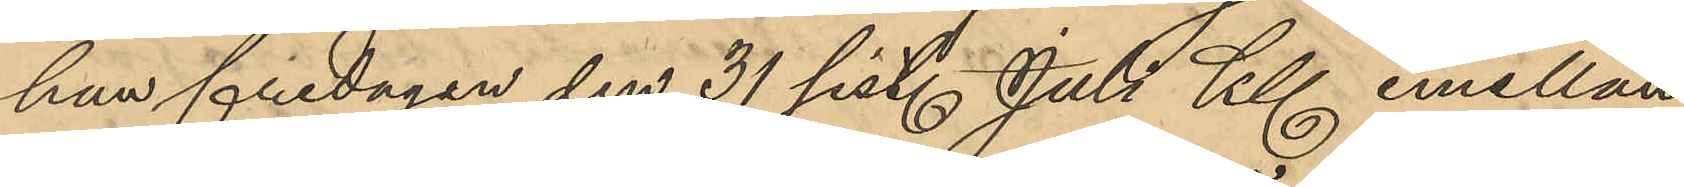han fredagan den 31 sist. Juli Kl emellan
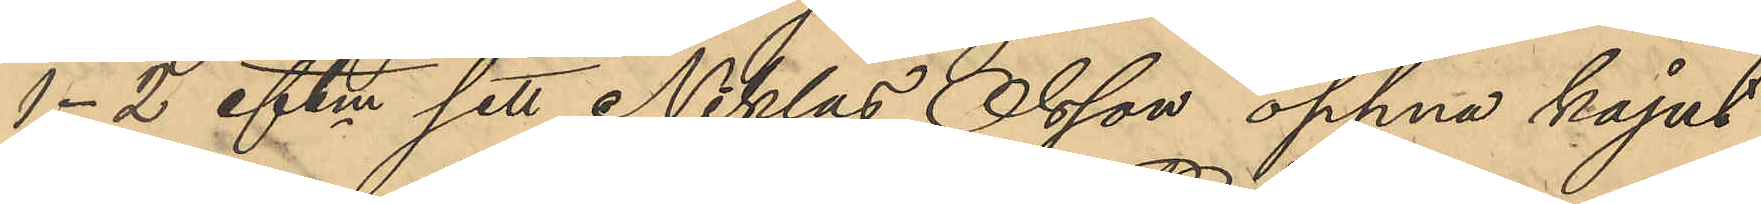1-2 eftm sett Niklas Olsson öppna kajut¬
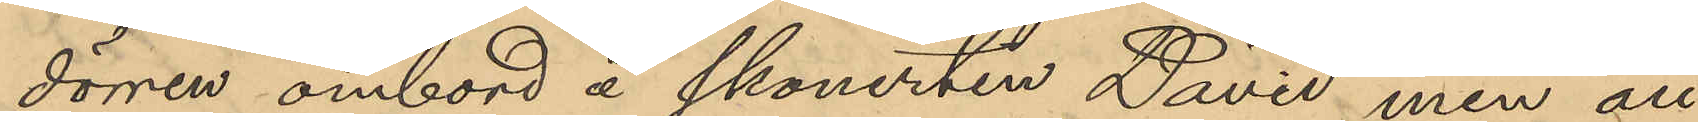dörren ombord å skonerten David, men att
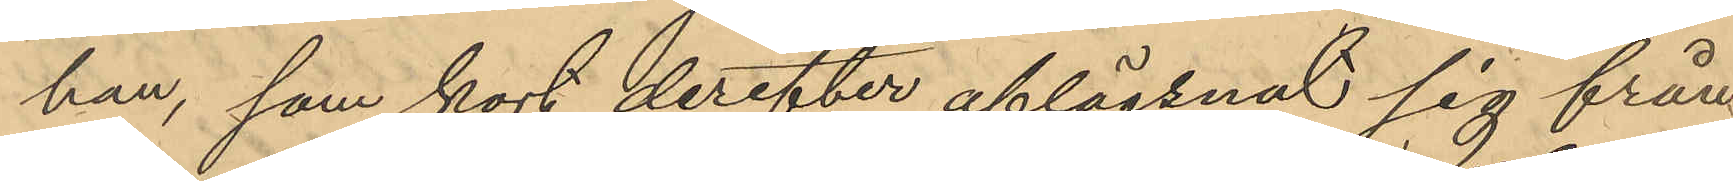han, som kort derefter aflägsnat sig från
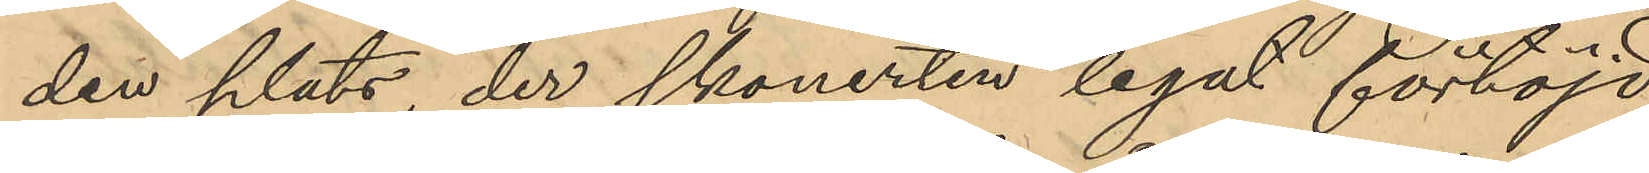den plats, der skonerten legat förtöjd,
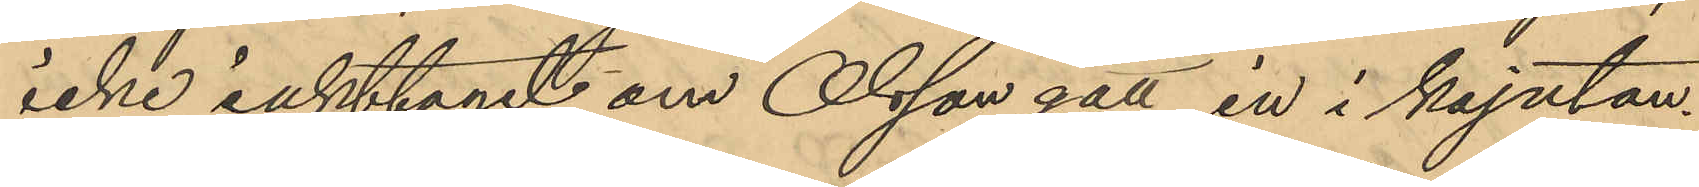icke iakttagit om Olsson gått in i kajutan.
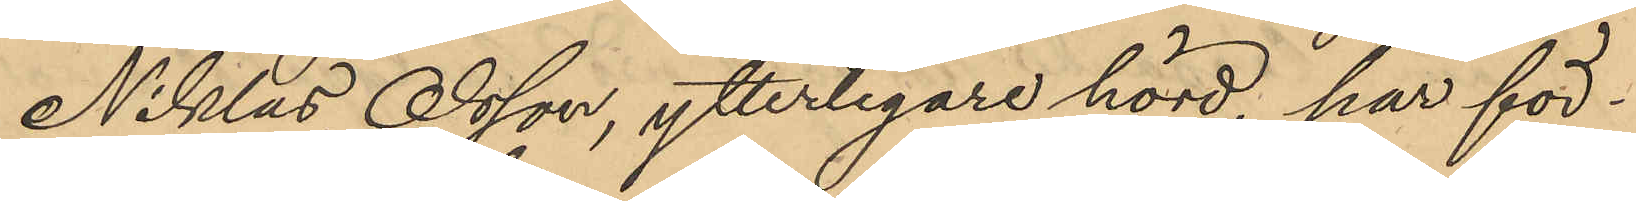Niklas Olsson, ytterligare hörd, har för¬
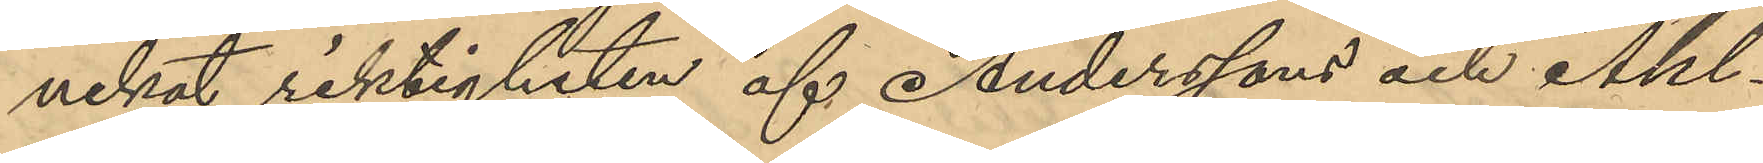nekat riktigheten af Anderssons och Ahl¬
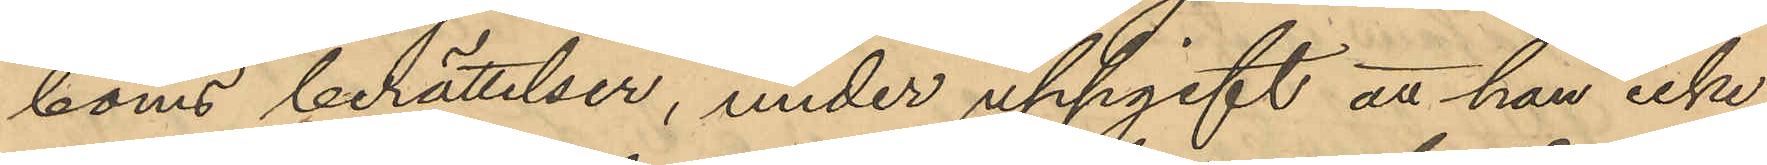boms berättelser, under uppgift att han icke
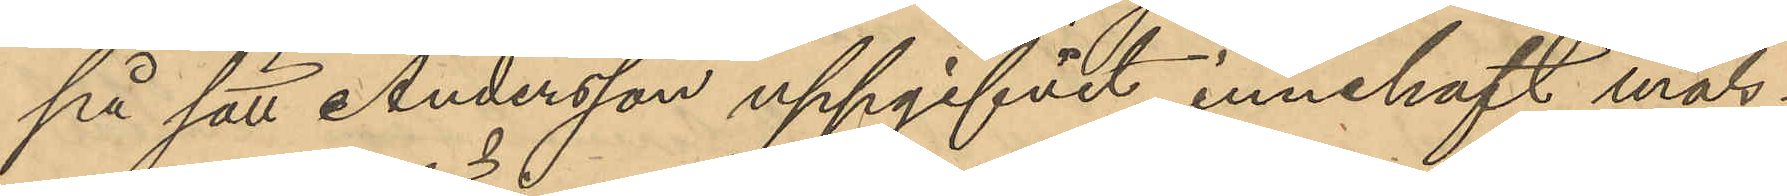på sätt Andersson uppgifvit innehaft måls¬
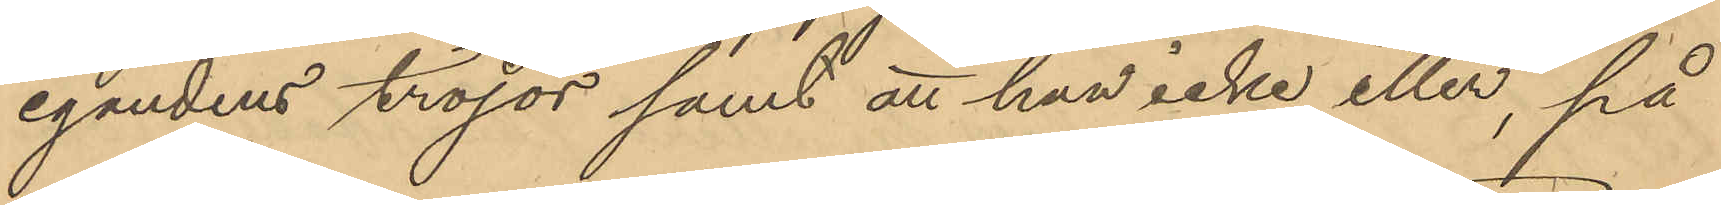egandens tröjor samt att han icke eller, på
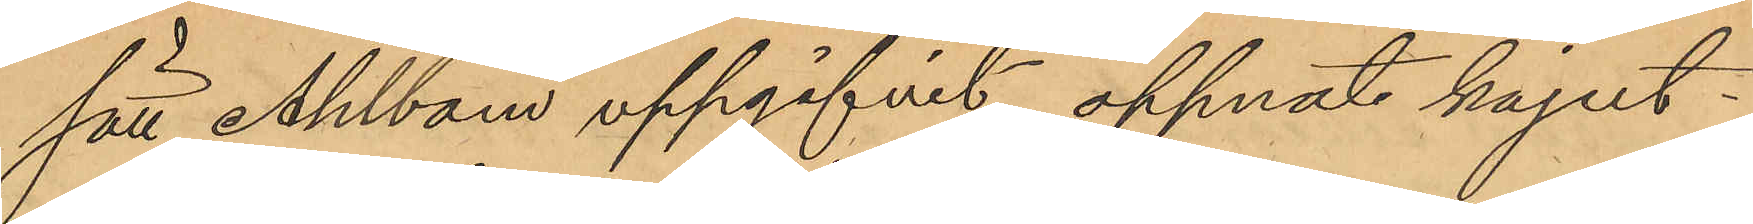sätt Ahlbom uppgifvit öppnat kajut¬
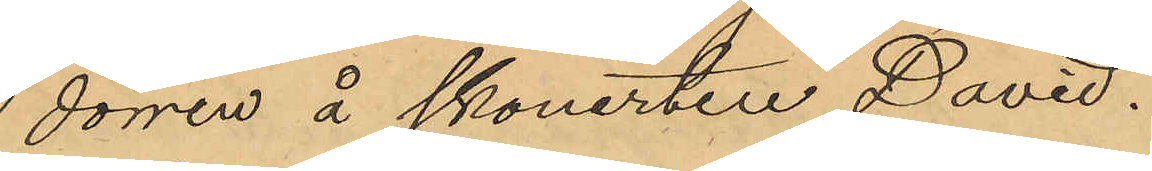dörren å skonerten "David".
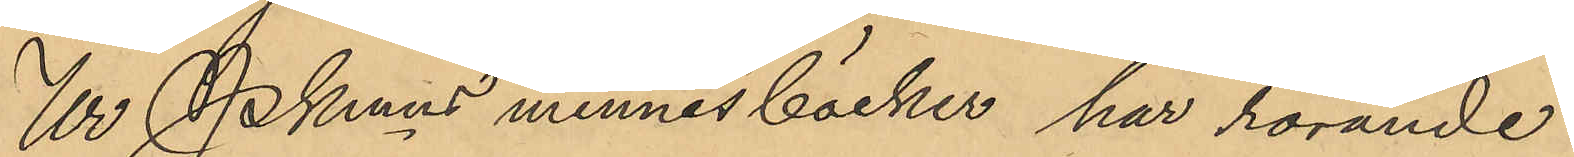Ur Pkmns minnesböcker har rörande
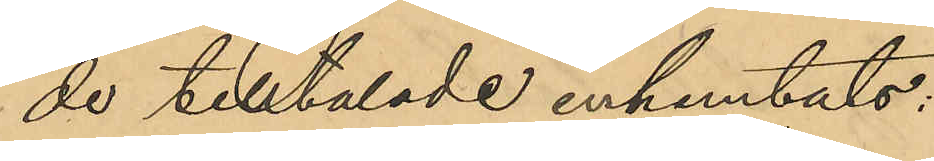de tilltalade inhemtats:
